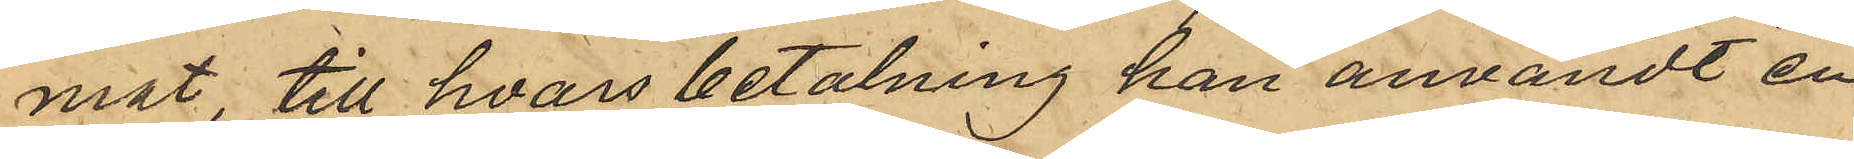mat, till hvars betalning han användt en
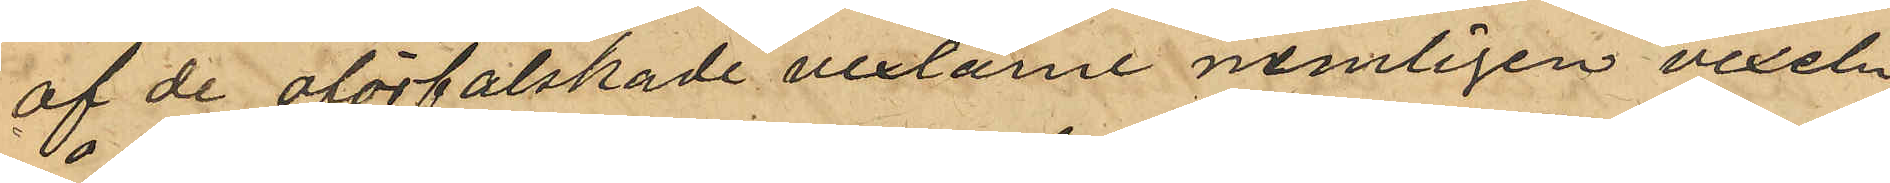af de oförfalskade vexlarne nemligen vexeln
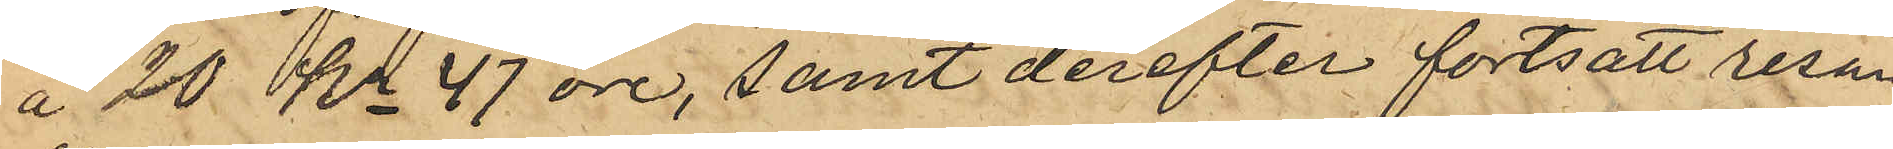å 20 Kr 47 öre, samt derefter fortsatt resan
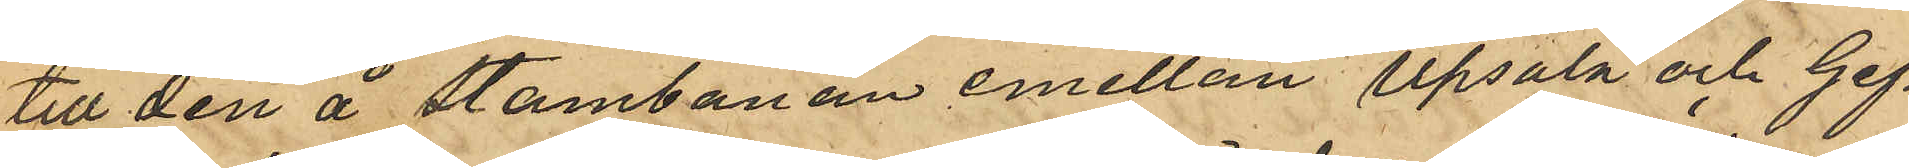till den å stambanan emellan Upsala och Gef¬
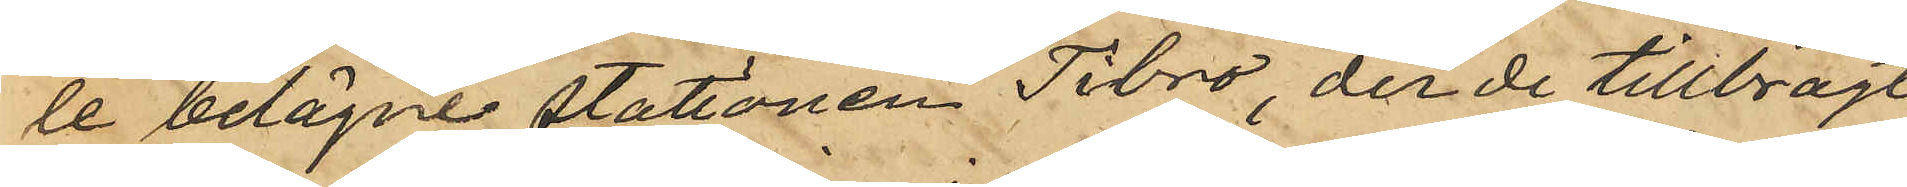le belägne stationen Tibro, der de tillbragt
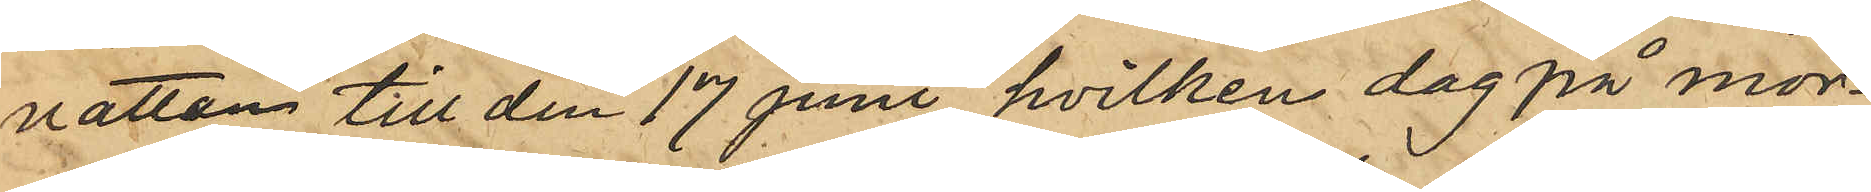natten till den 17 juni hvilken dag på mor¬
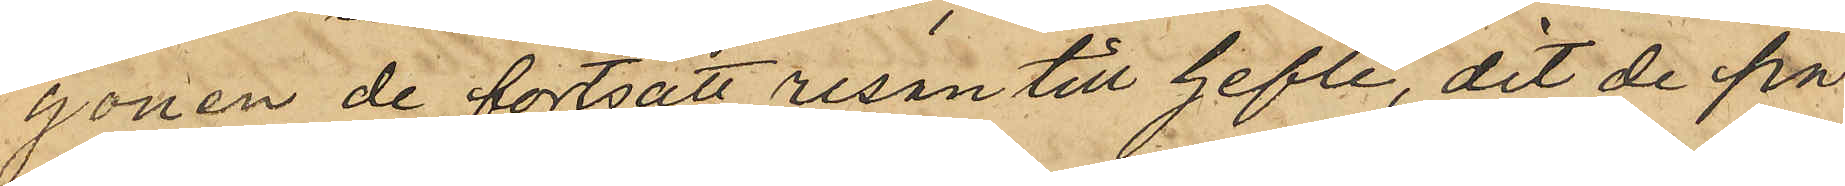gonen de fortsatt resan till Gefle, dit de på
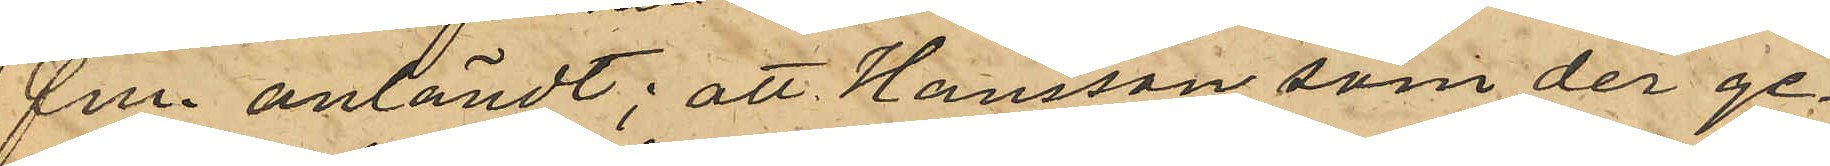fm. anländt; att Hansson som der ge¬
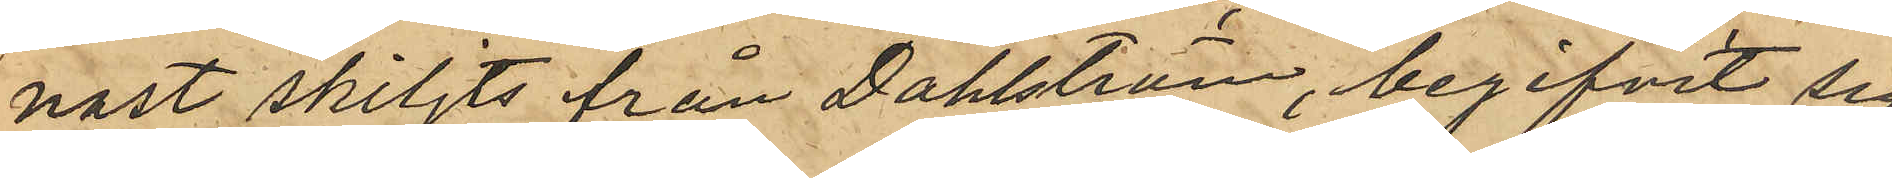nast skiljts från Dahlström, begifvit sig
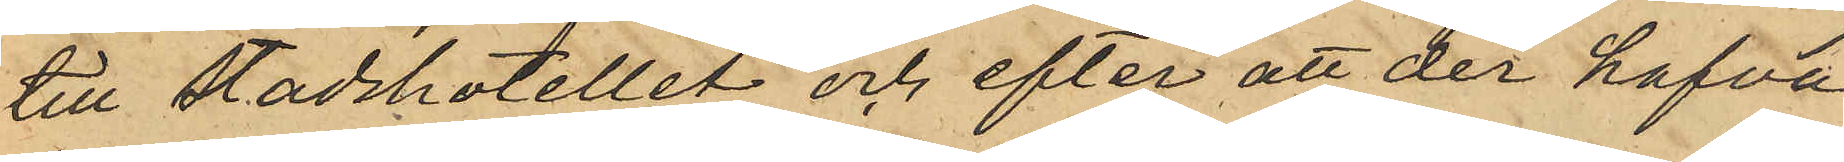till Stadshotellet och efter att der hafva
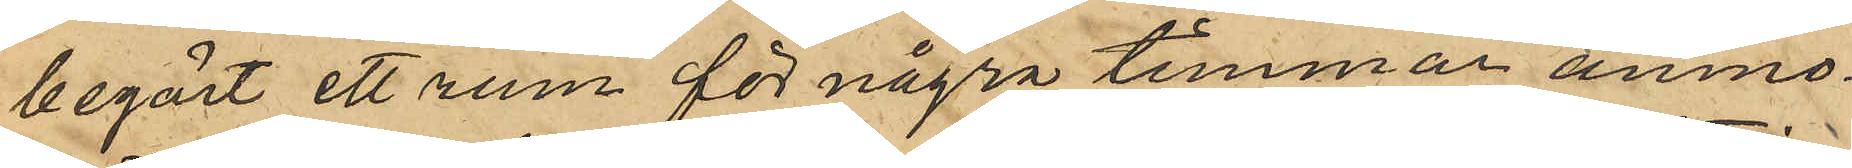begärt ett rum för några timmar anmo¬
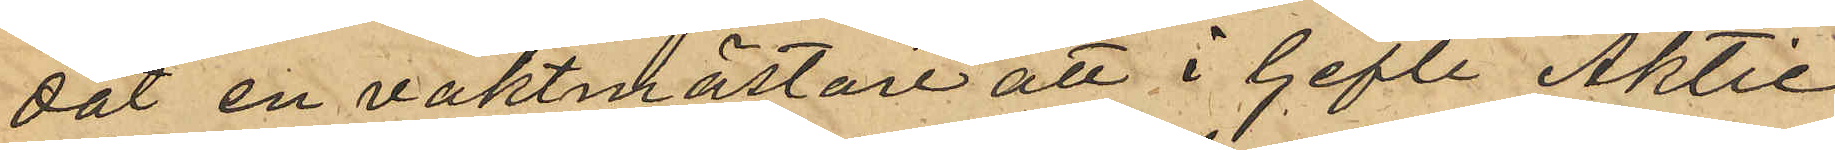dat en vaktmästare att i Gefle Aktie
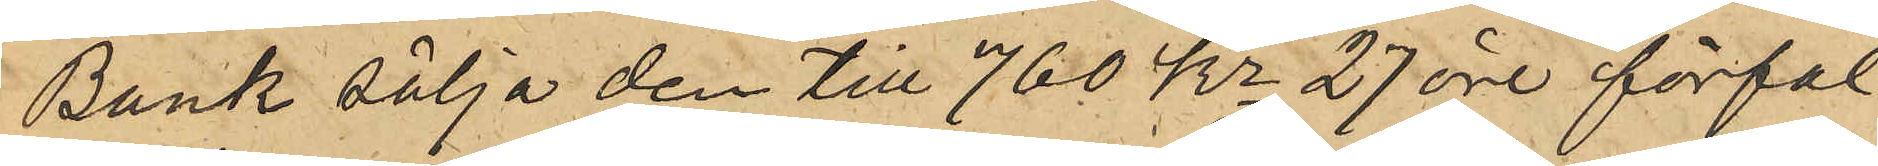Bank sälja den till 760 kr 27 öre förfal¬
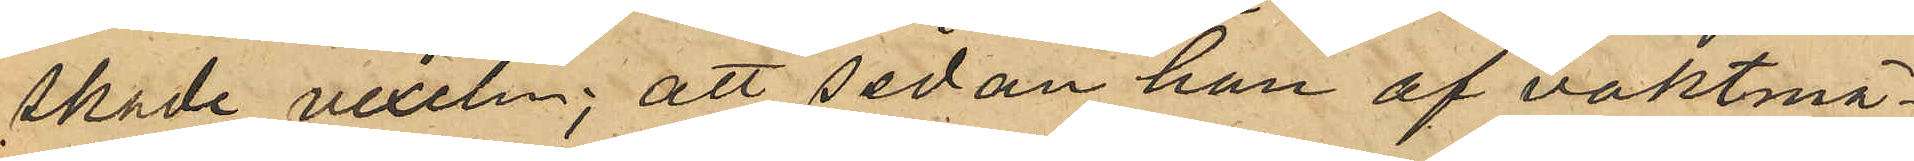skade vexeln; att sedan han af vaktmä¬
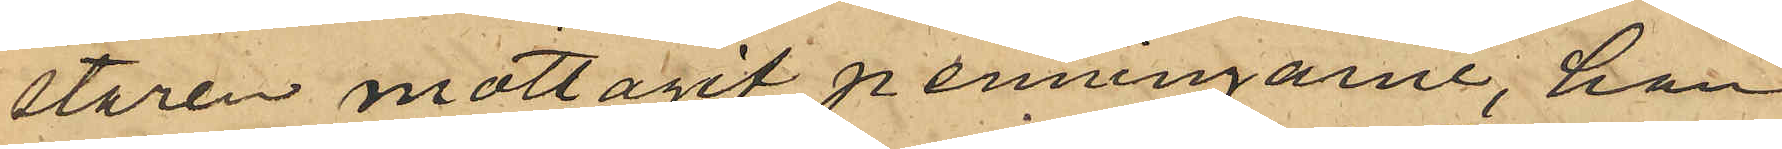staren mottagit penningarne, han
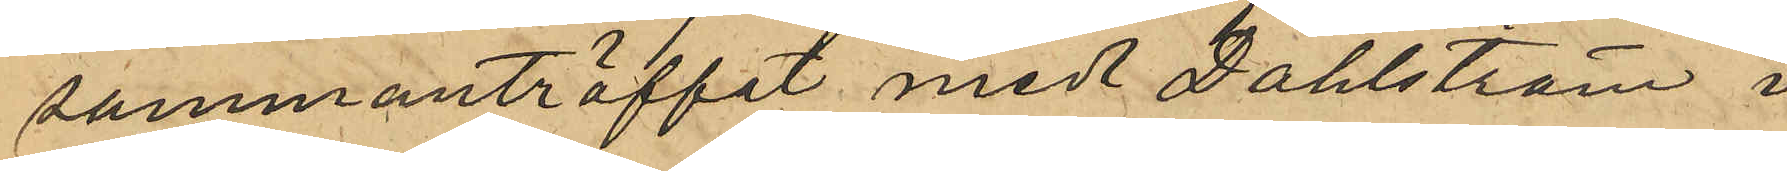sammanträffat med Dahlström i
